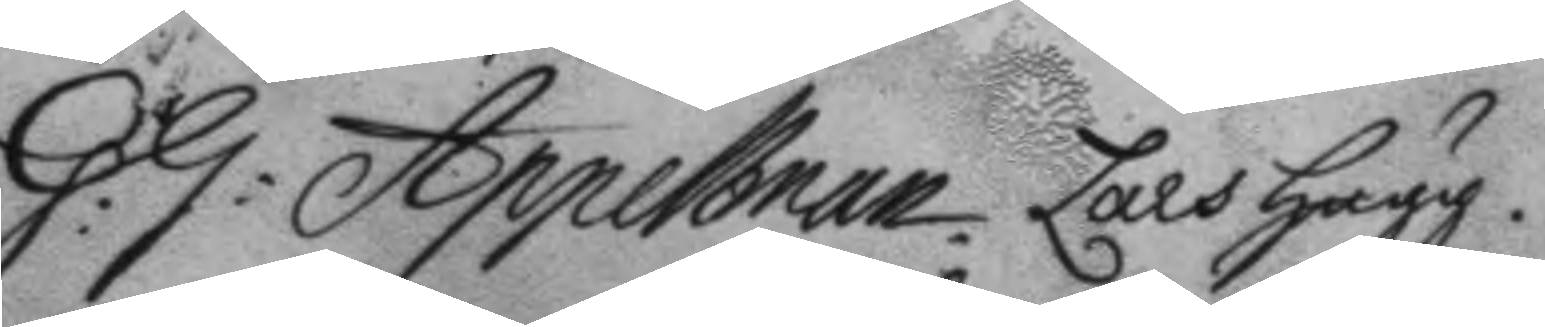G:G: Appelman. Lars Hugg.
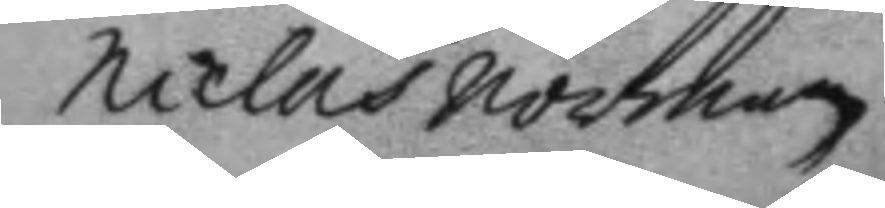Niclas norman
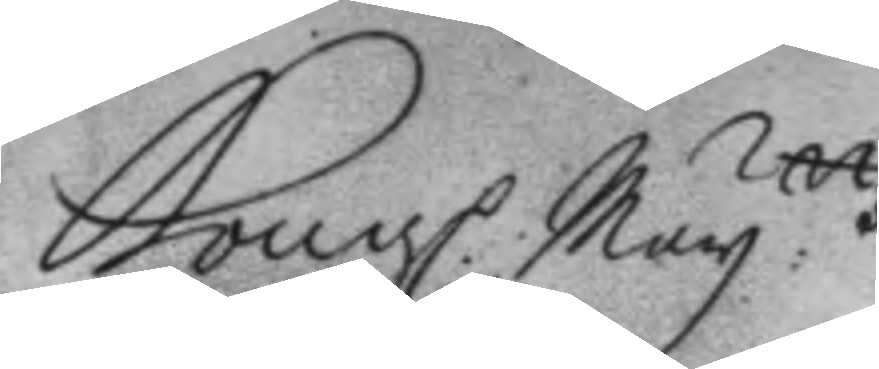Kongl. May.ttz
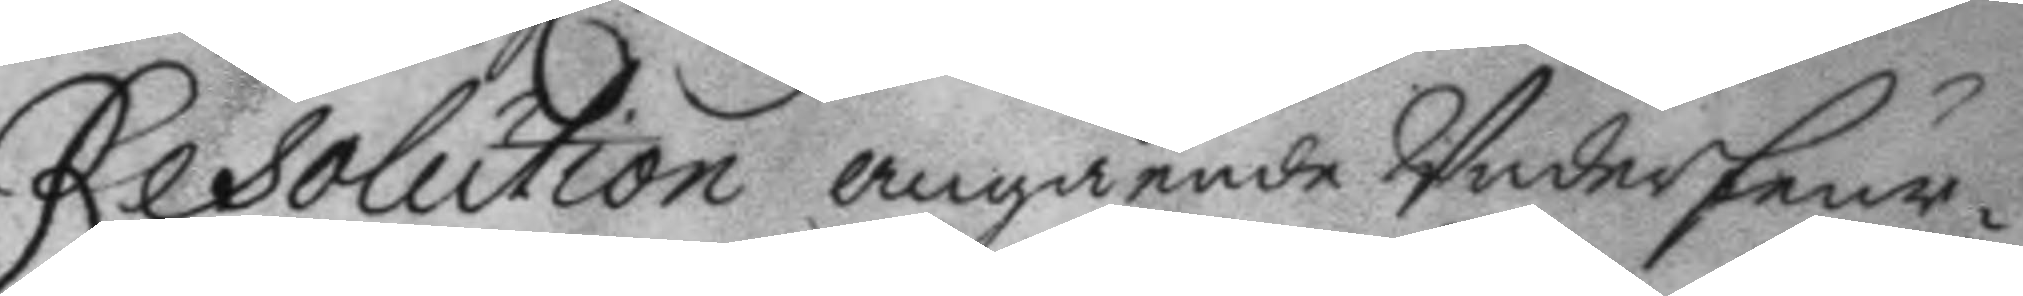Resolution angående Underfeur¬
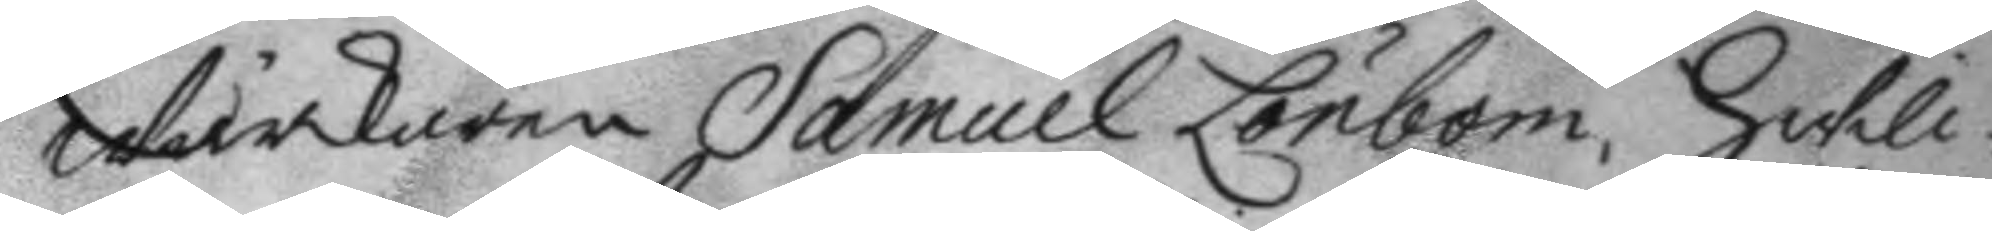wärkaren Samuel Lönbom, hwil¬
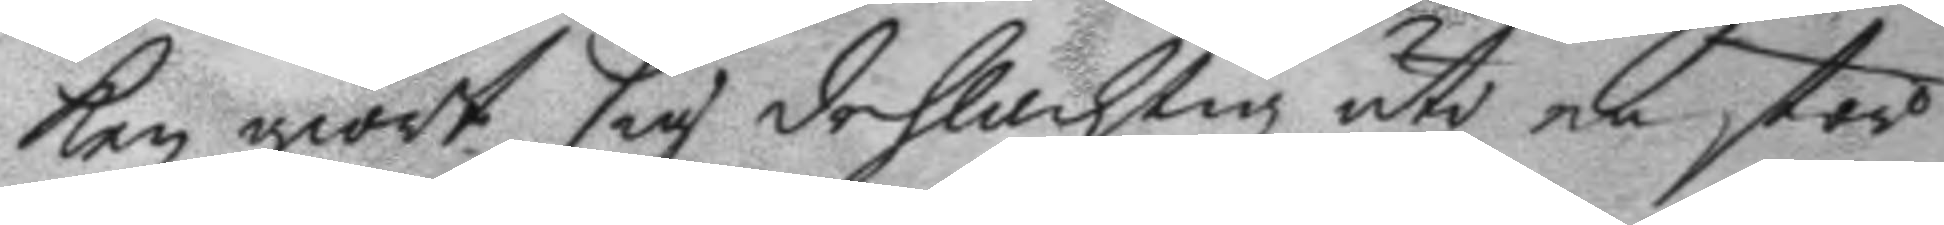ken giort sig delachtig uti en stor
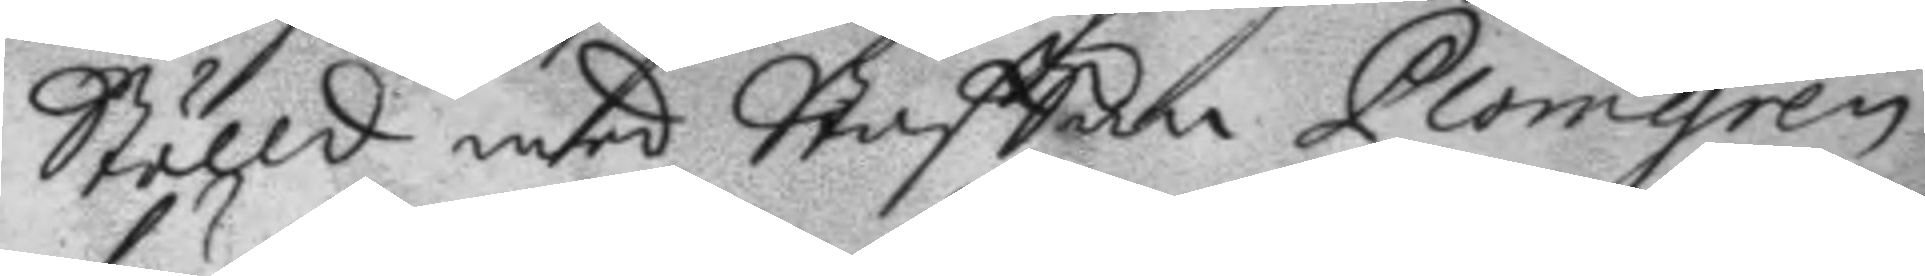Stölld med Staffan Plomgren,
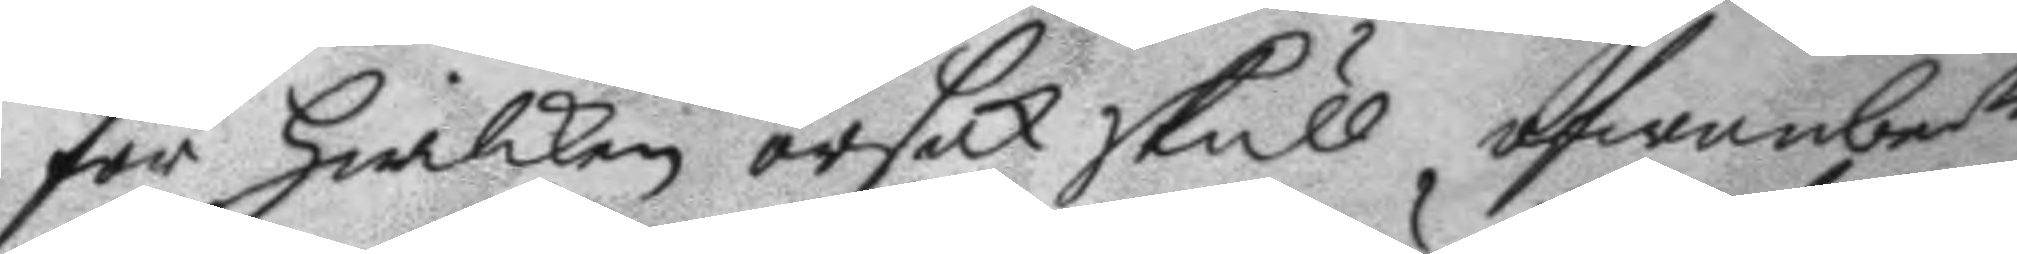för hwilken orsak skull ofwanbe.de
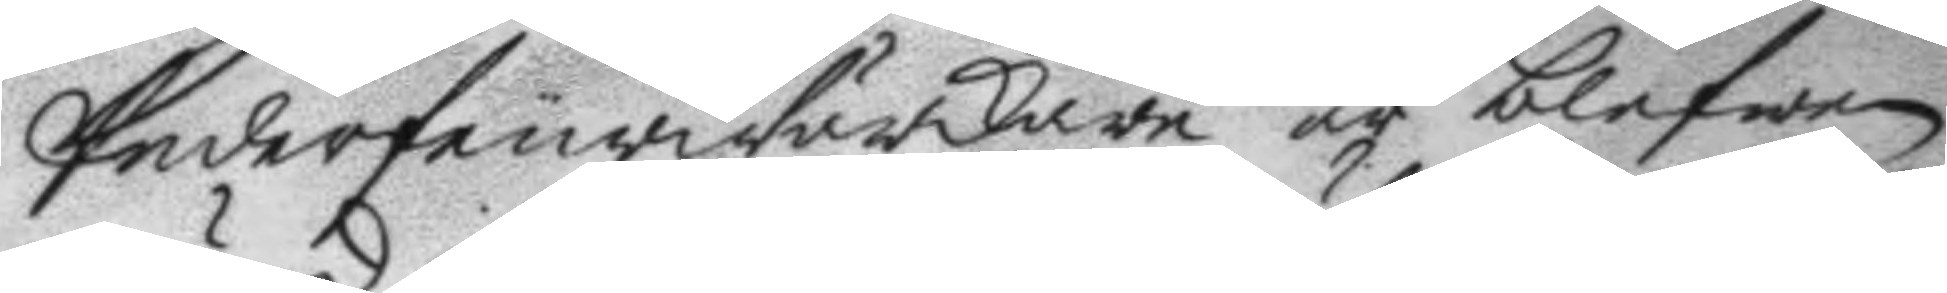Underdeurwärkare är blefwen
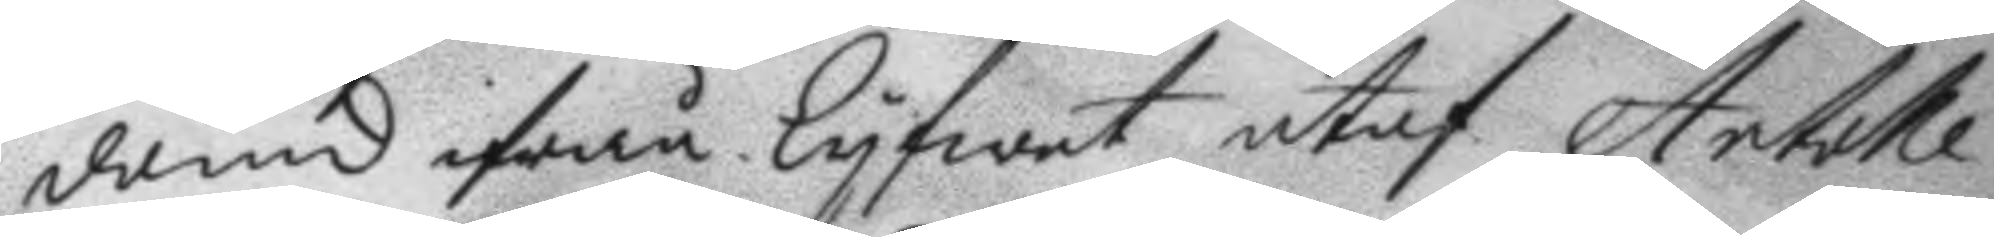dömd ifrån Lyfwet utaf Artolle¬
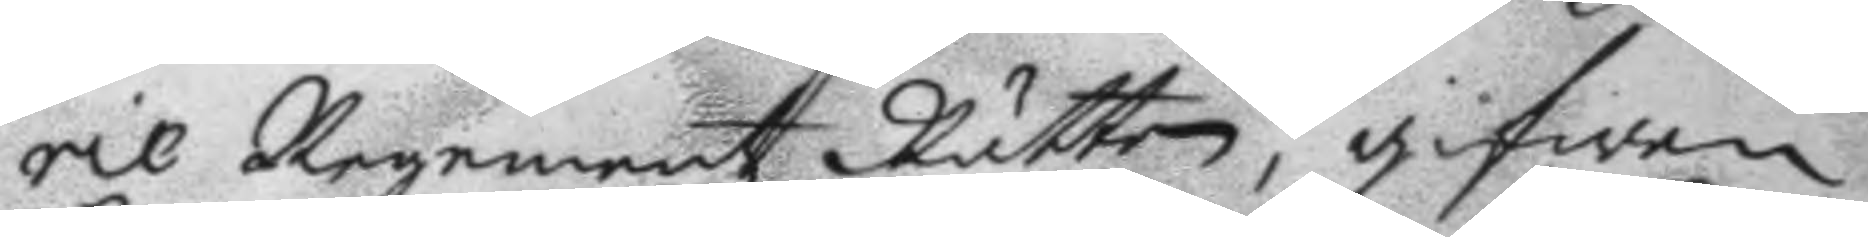rie Regementz Rätten, gifwen
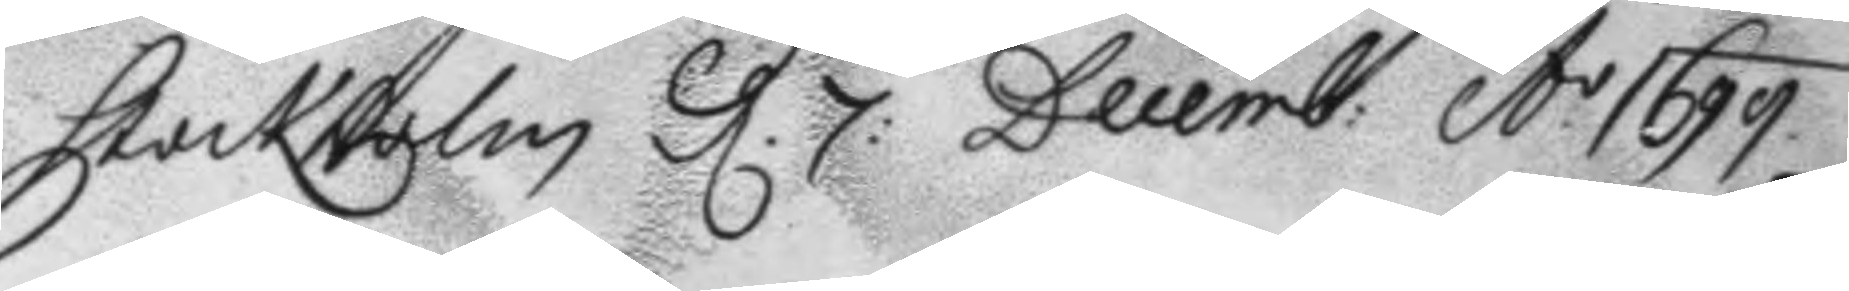Stockholm d: 7: Decemb: A: 1699
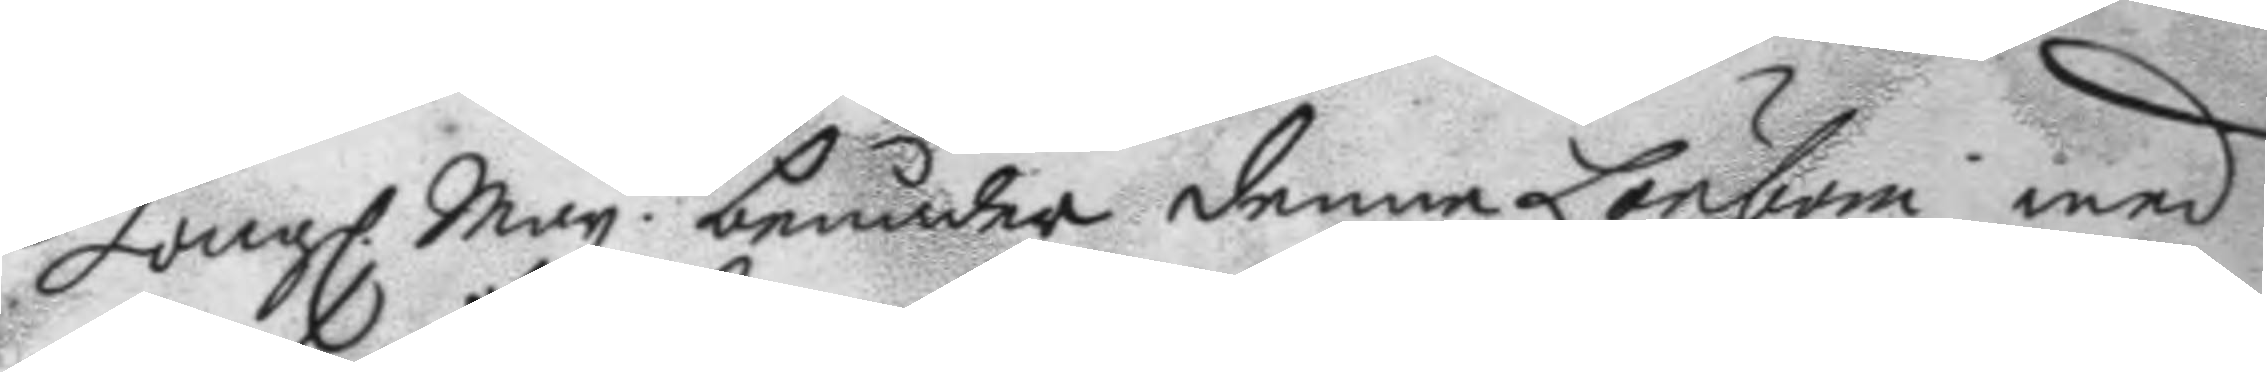Kongl. May.tt benådar denne Lönbom med
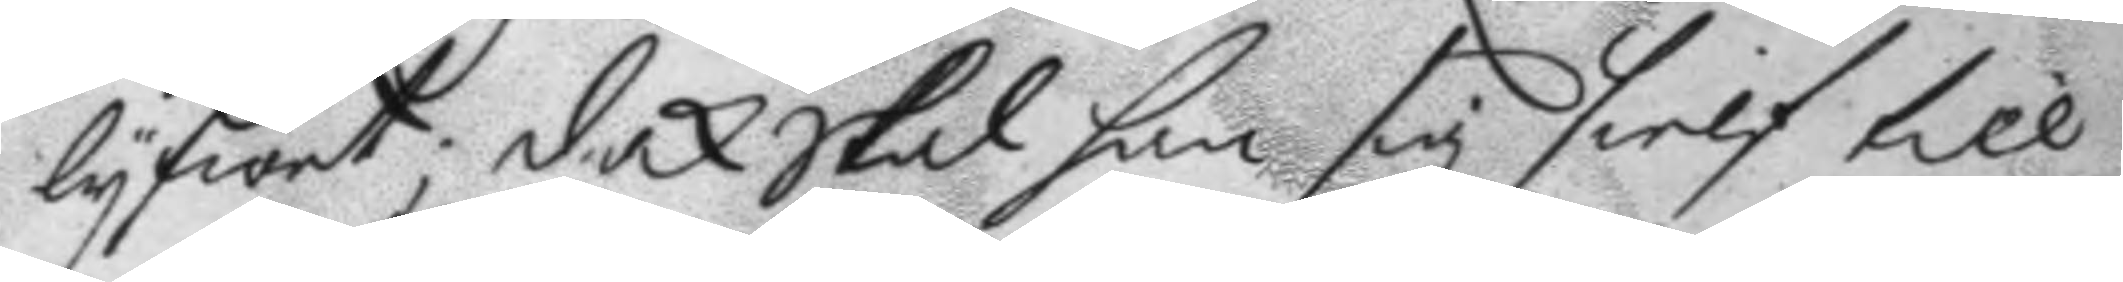lyfwet; dock skal han sig sielf till
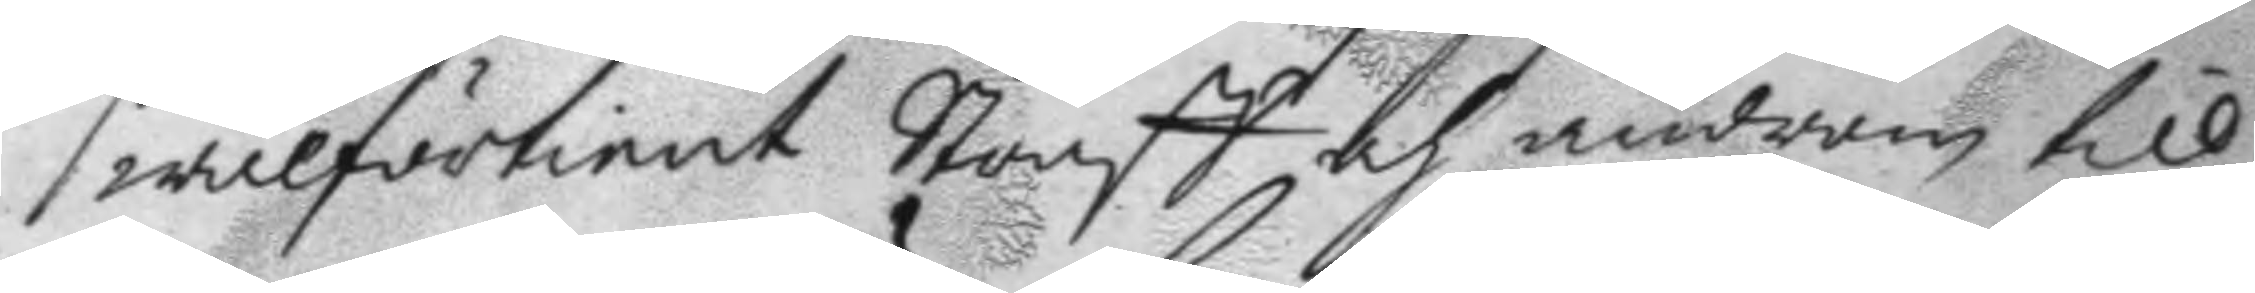wälförtient Straff och androm till
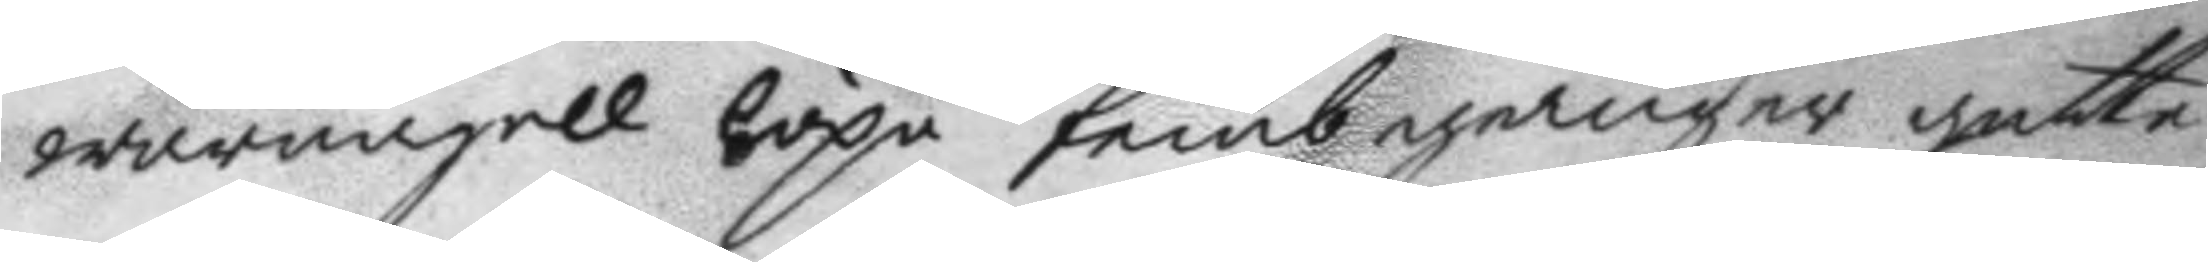warnagel löpa fmb gånger gattu¬
